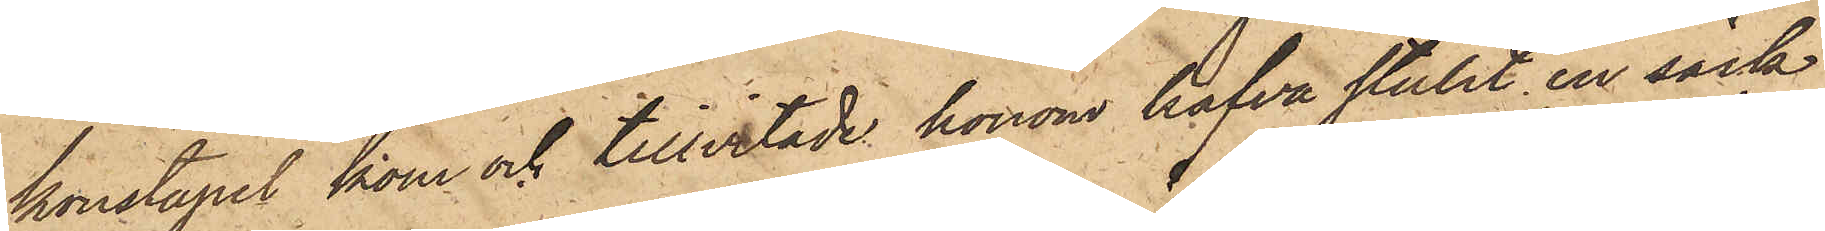konstapel kom och tillvitade honom hafva stulit en säck,
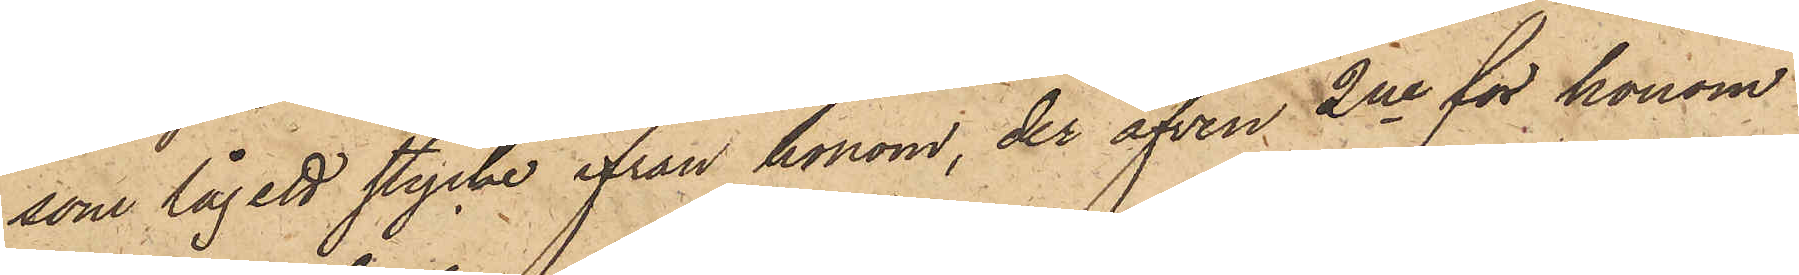som låg ett stycke ifrån honom, der äfven 2ne för honom
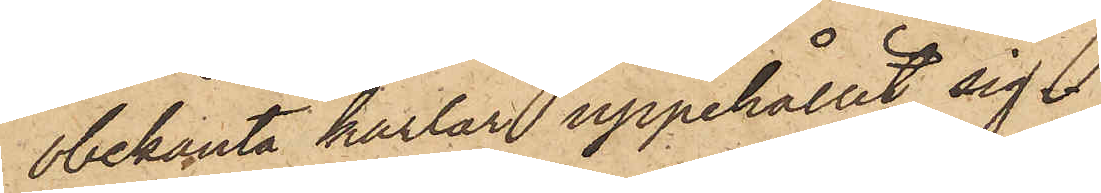obekanta karlar uppehållit sig.
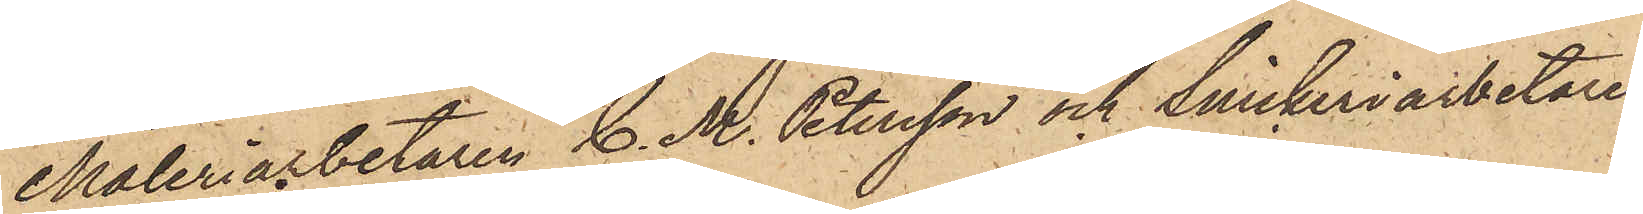Måleriarbetaren C. M. Petersson och Snickeriarbetaren
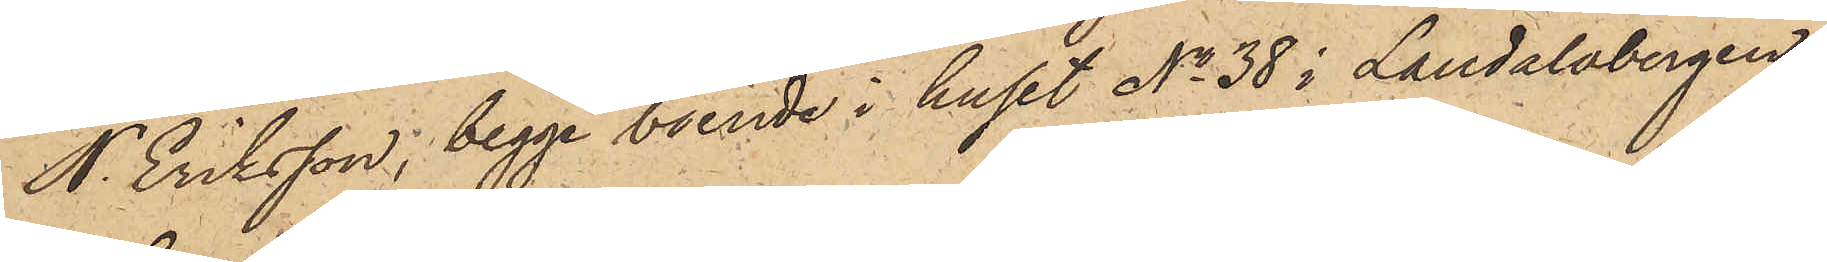N. Eriksson, begge boende i huset No 38 i Landalabergen
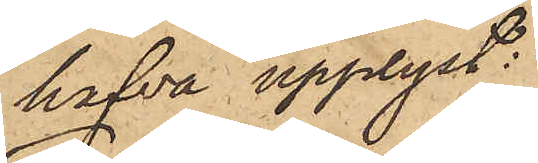hafva upplyst:
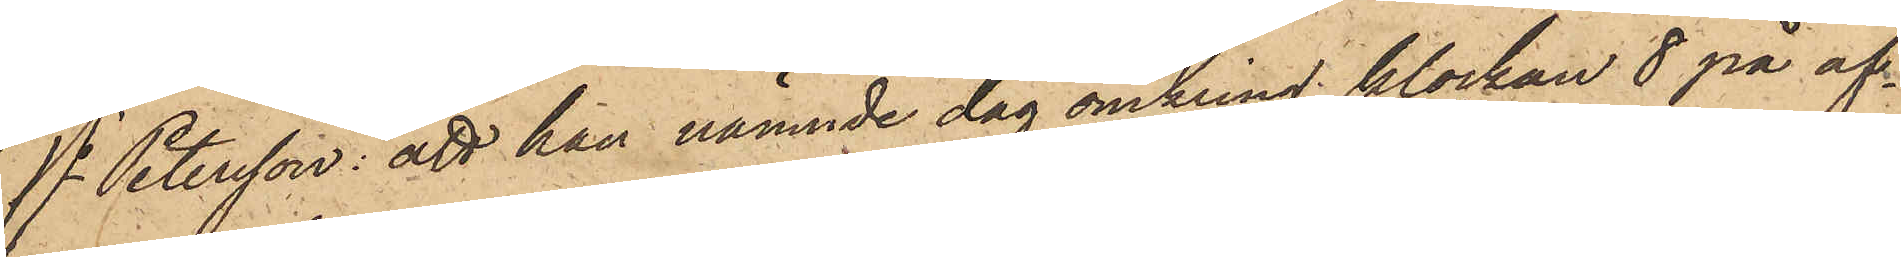1o Petersson: att han nämnde dag omkring klockan 8 på af¬
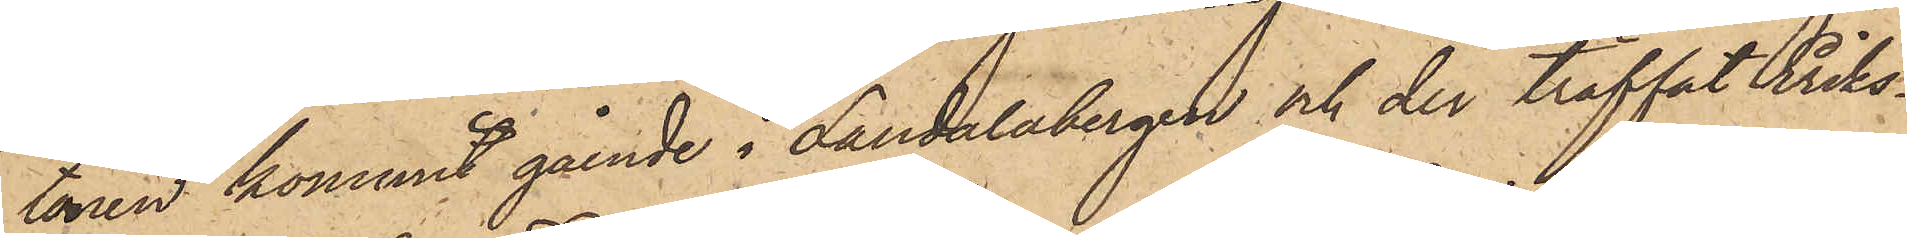tonen kommit gående i Landalabergen och der träffat Eriks¬
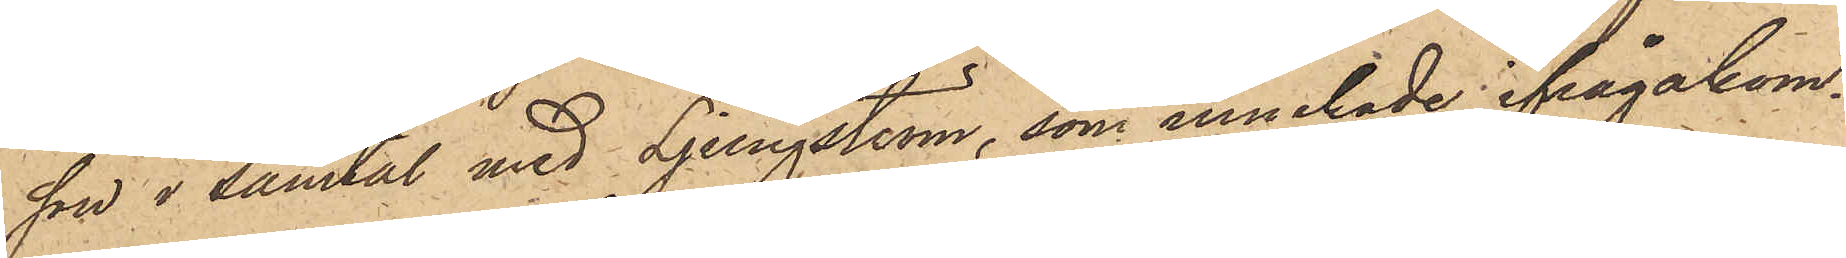son i samtal med Ljungström, som innehade ifrågakom¬
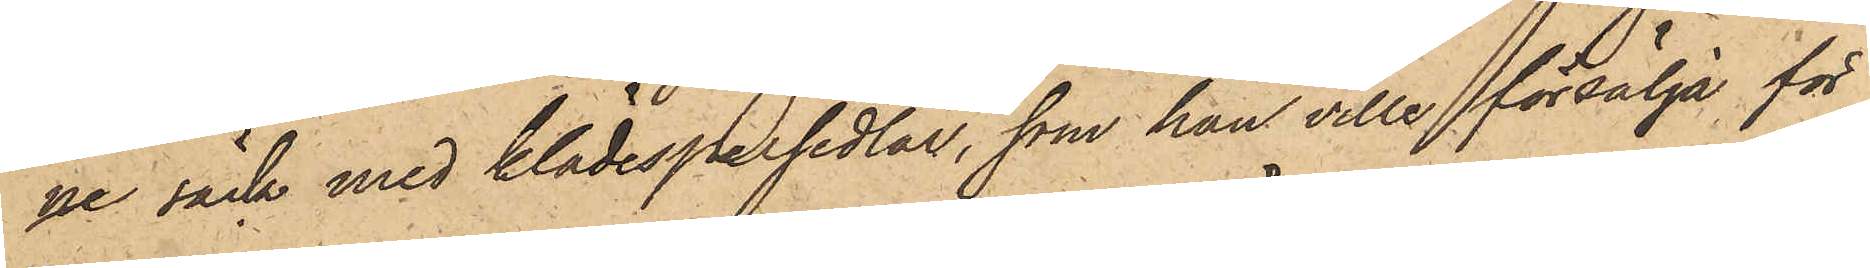ne säck med klädespersedlar, som han ville försälja för
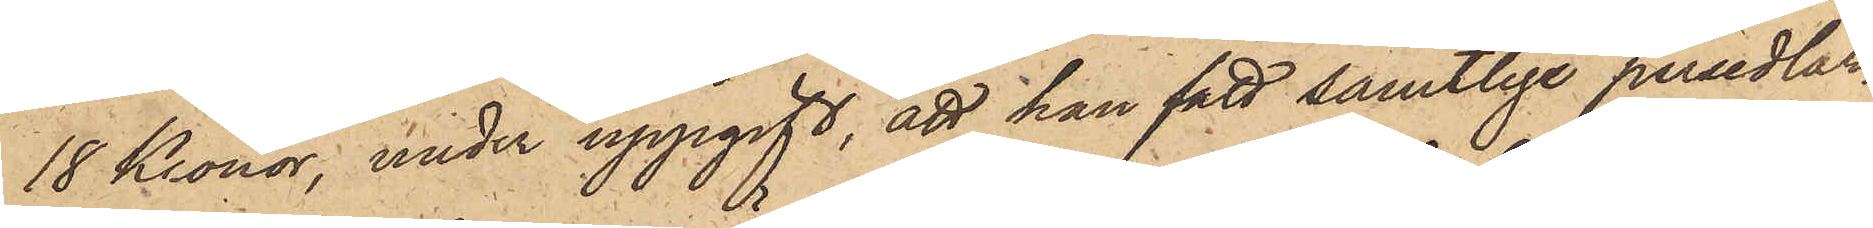18 Kronor, under uppgift, att han fått samtlige persedlar¬
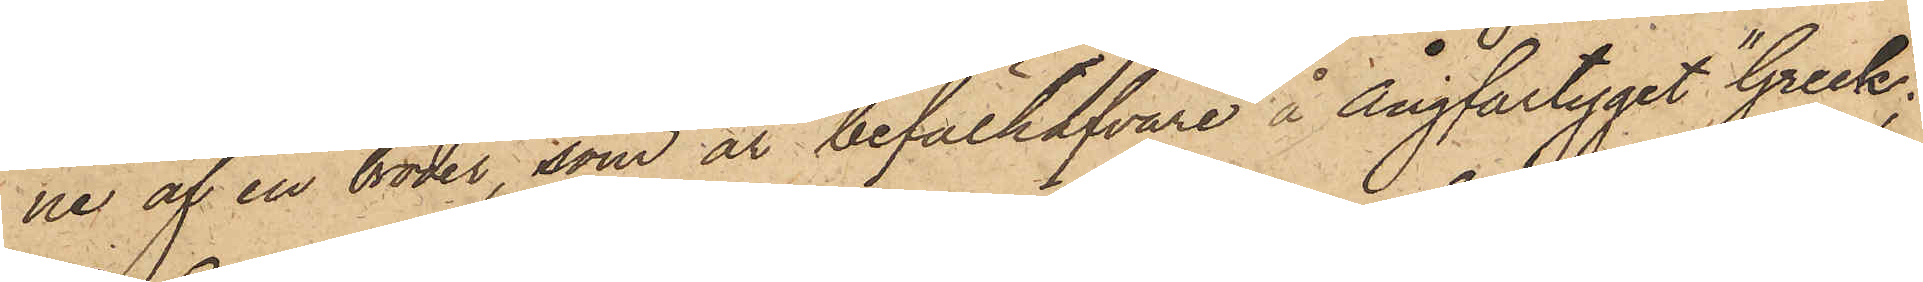ne af en broder, som är befälhafvare å ångfartyget "Greek";
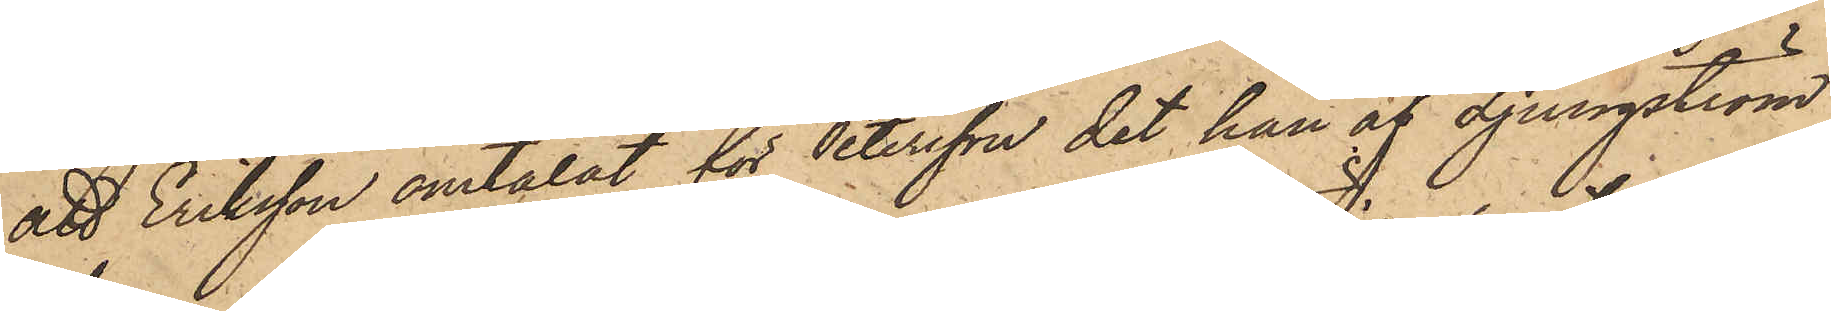att Eriksson omtalat för Petersson det han af Ljungström
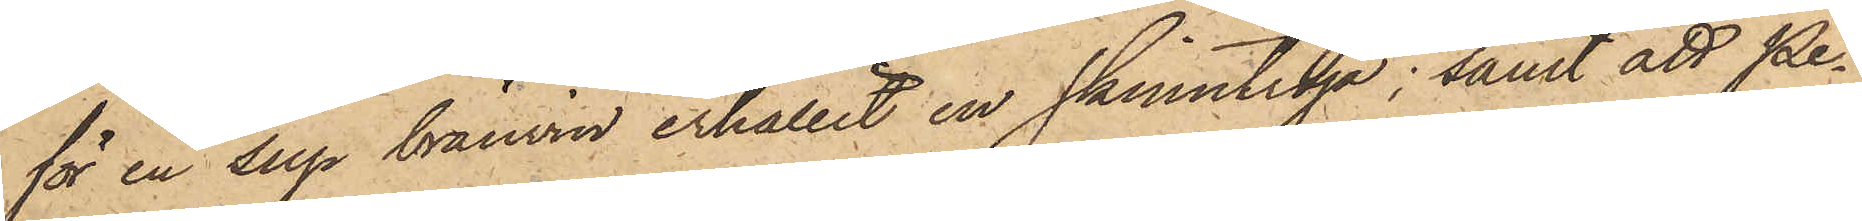för en sup bränvin erhållit en skinntröja; samt att Pe¬
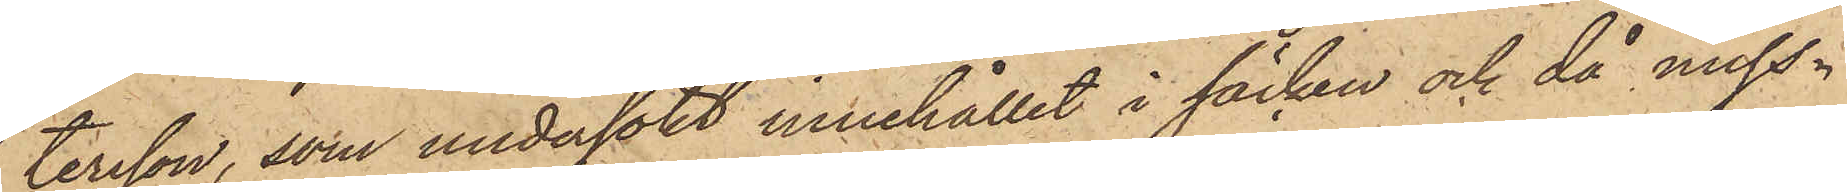tersson, som undersökt innehållet i säcken och då miss¬
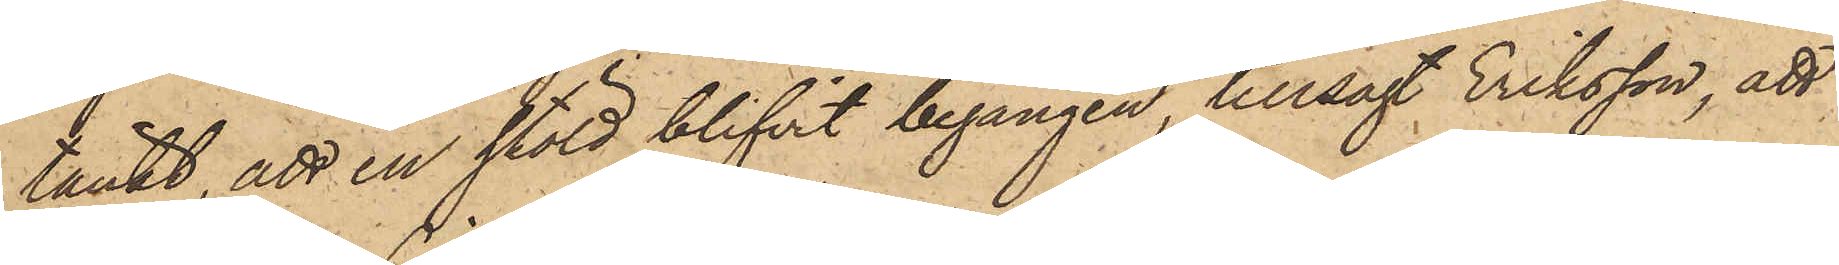tänkt, att en stöld blifvit begången, tillsagt Eriksson, att
